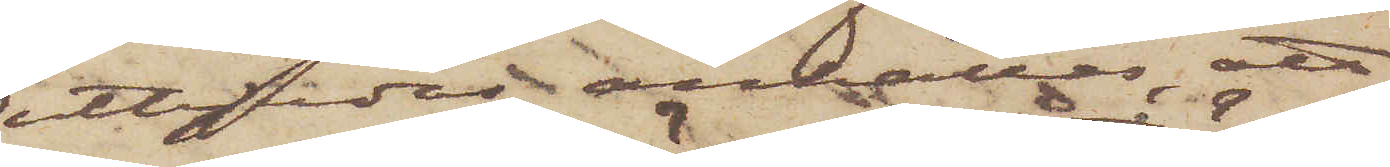utbjudas, anhålles att
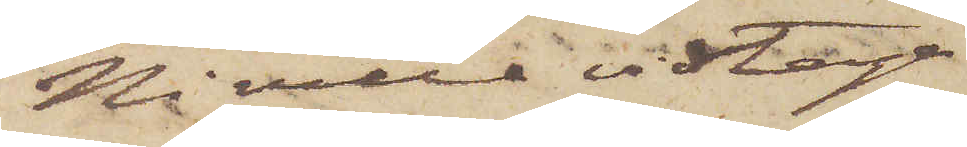Ni ville vidtaga
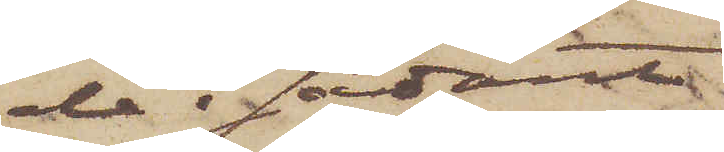de i sådant
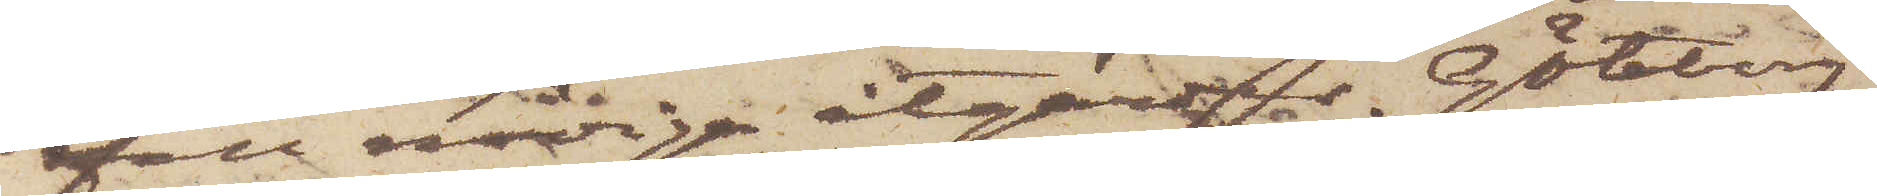fall nödiga åtgärder. Göteborg
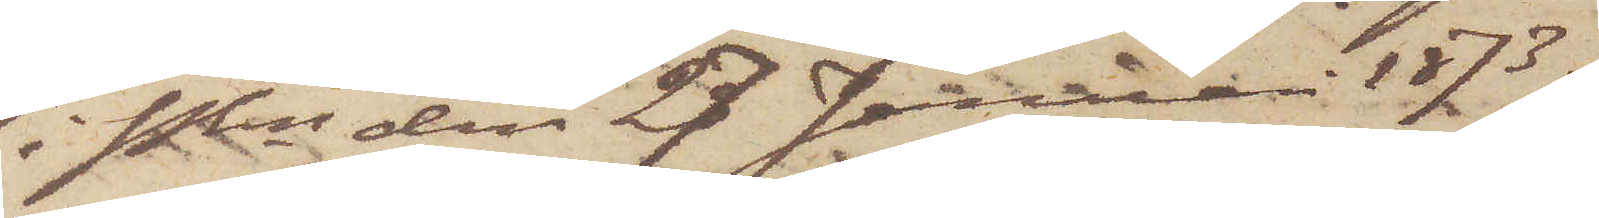i Pkn den 27 Januari 1873.
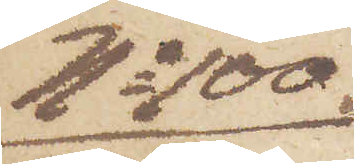No 100.
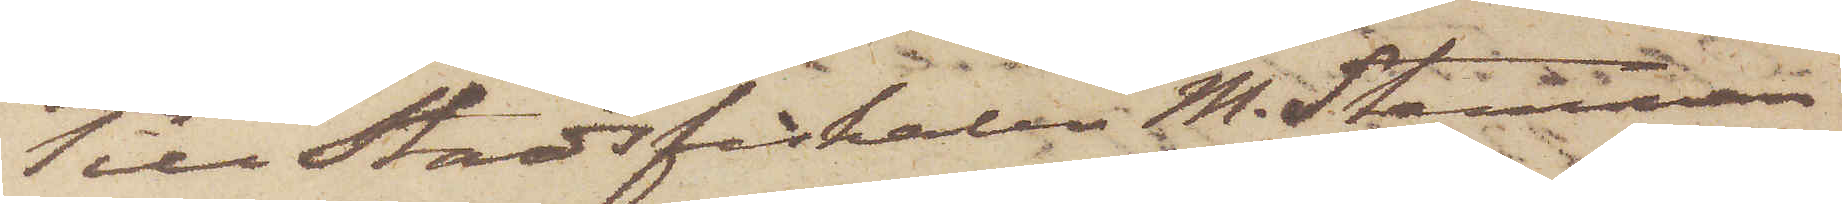Till Stadsfiskalen M. Stenman
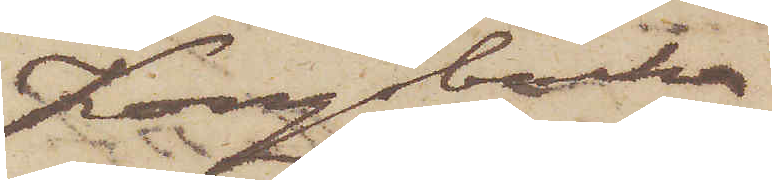Kongsbacka
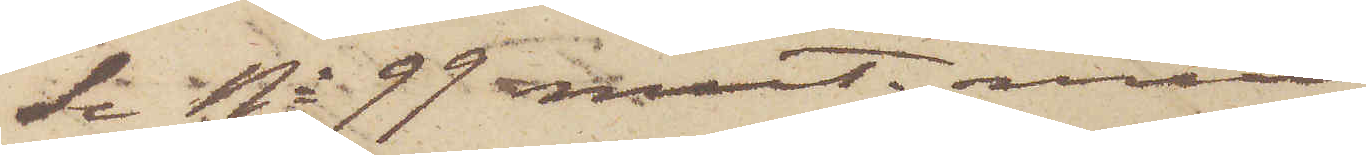Se No 99 mut mut =
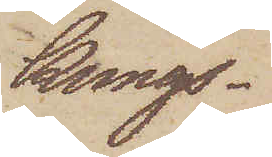Kungs¬
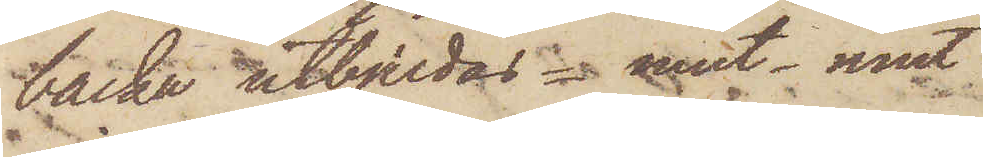backa utbjudas = mut - mut
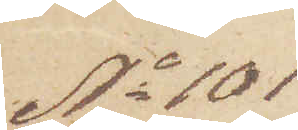No 101
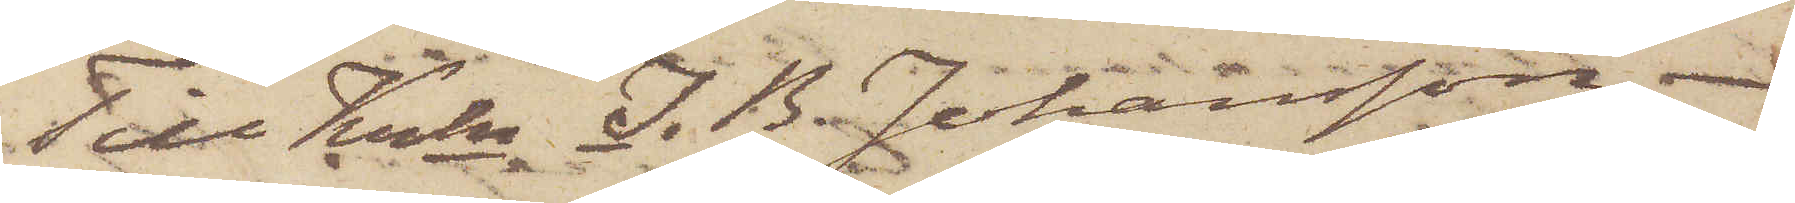Till Krln J. B. Johansson
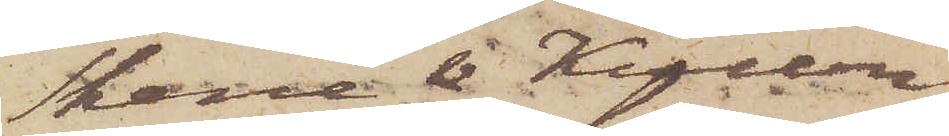Skene & Kullen
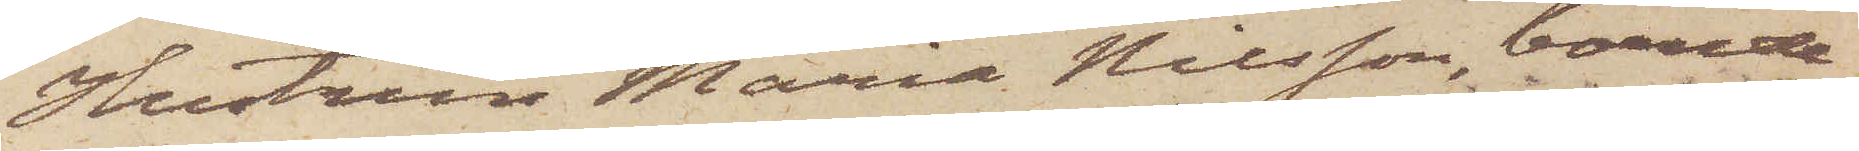Hustrun Maria Nilsson, boende
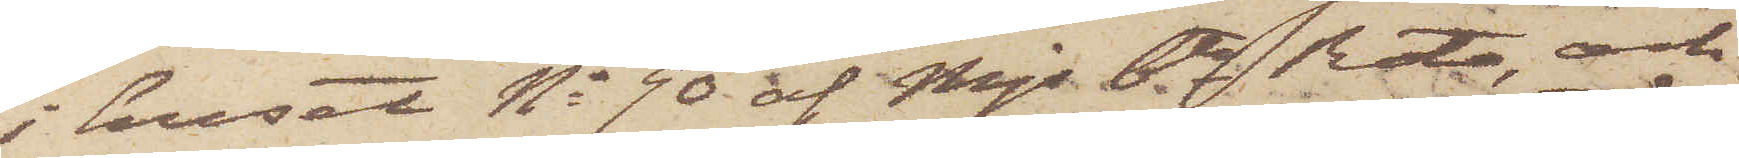i huset No 90 af Mjs 6te Rote, och
